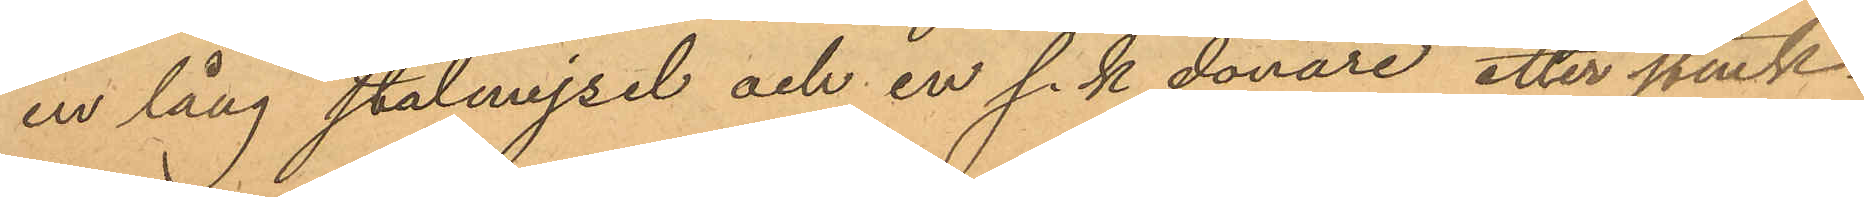en lång stålmejsel och en s. k donare etter stenk¬
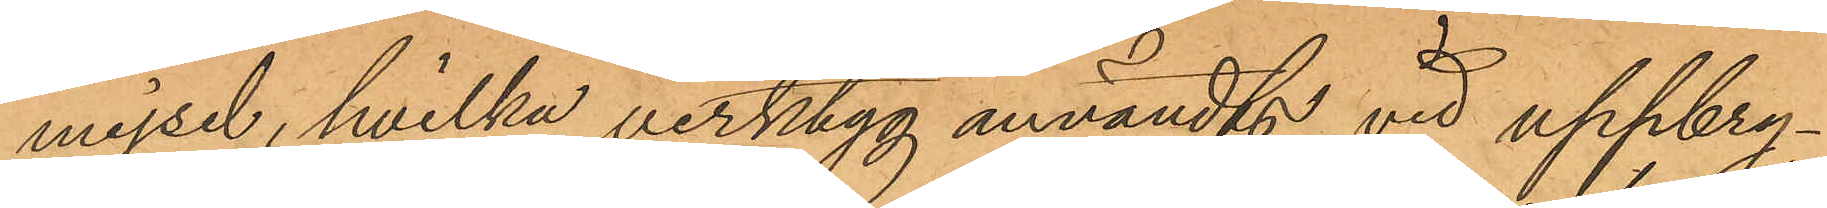mejsel, hvilka verktyg användts vid uppbry¬
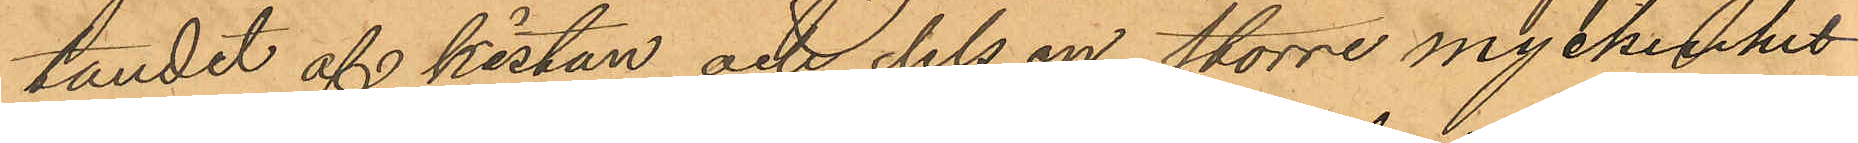tandet af kistan och dels en större myckenhet
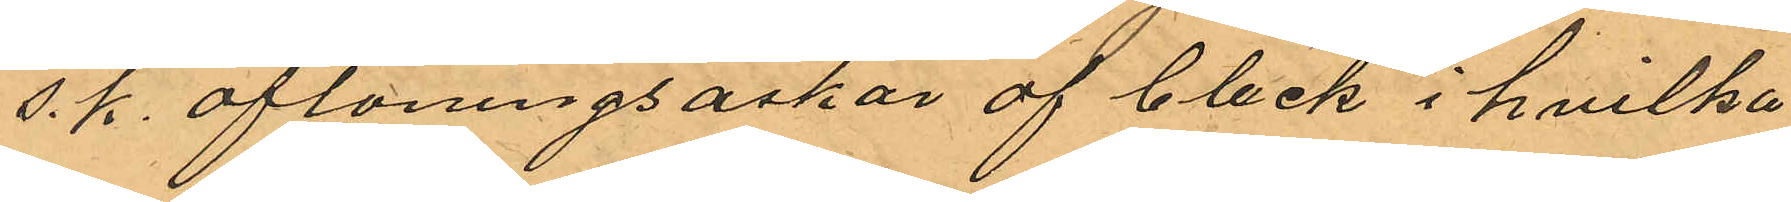s. k. aflöningsaskar af bleck i hvilka
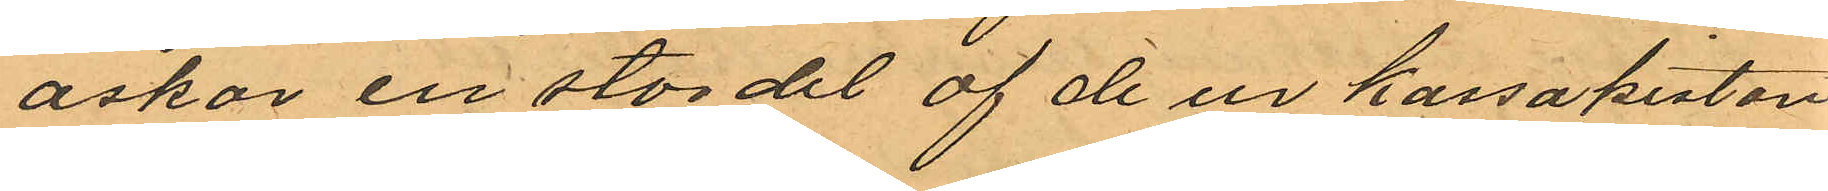askar en stor del af de ur kassakistan
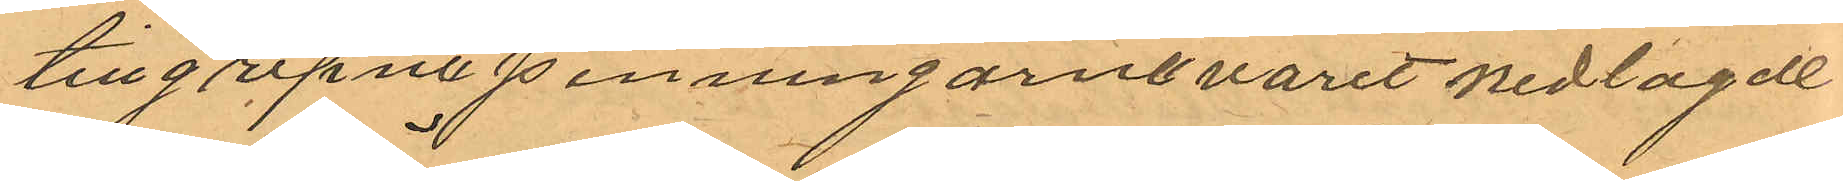tillgripne penningarne varit nedlagde
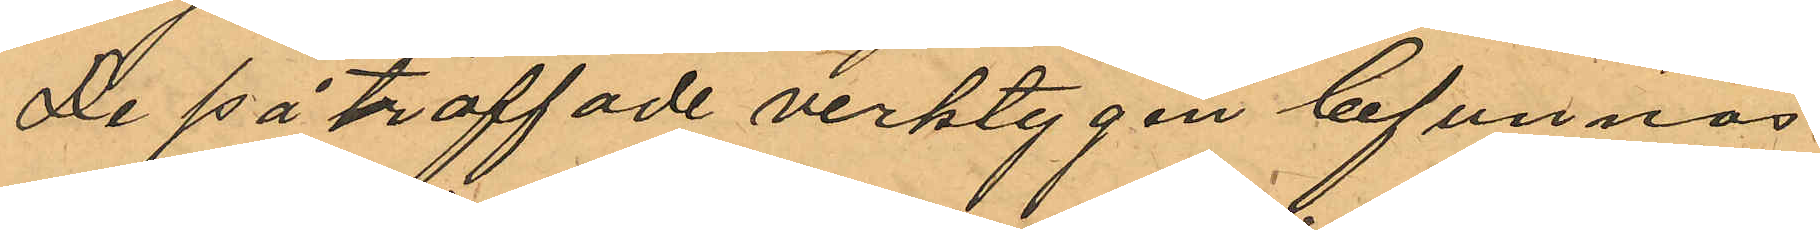De påträffade verktygen befunnos
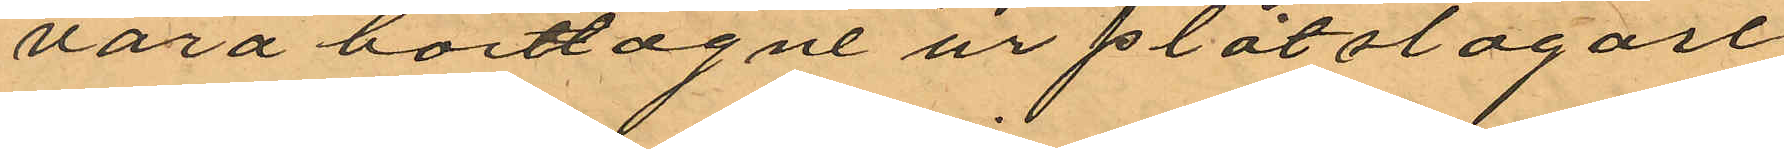vara borttagne ur plåtslagare¬
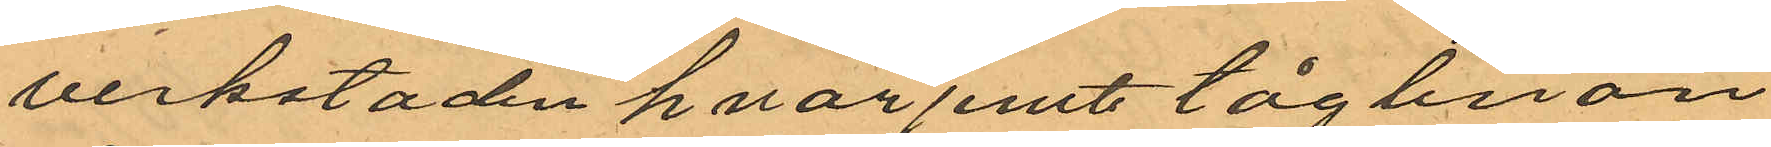verkstaden hvarjemte tåglinan
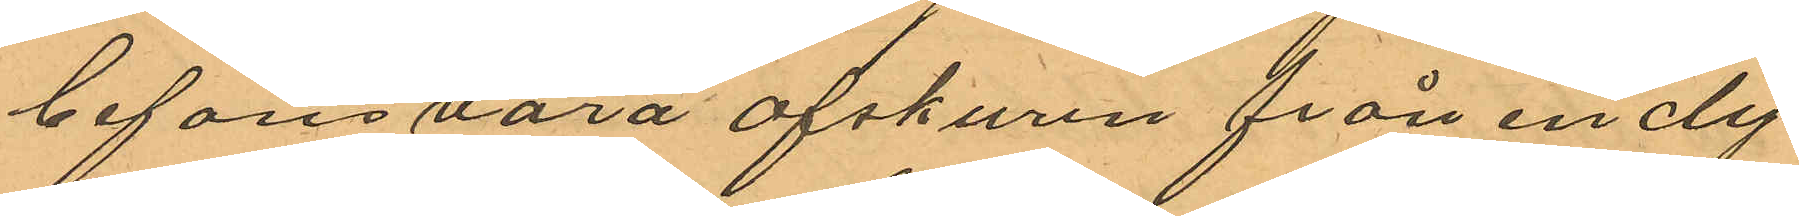befans vara afskuren från en dy¬
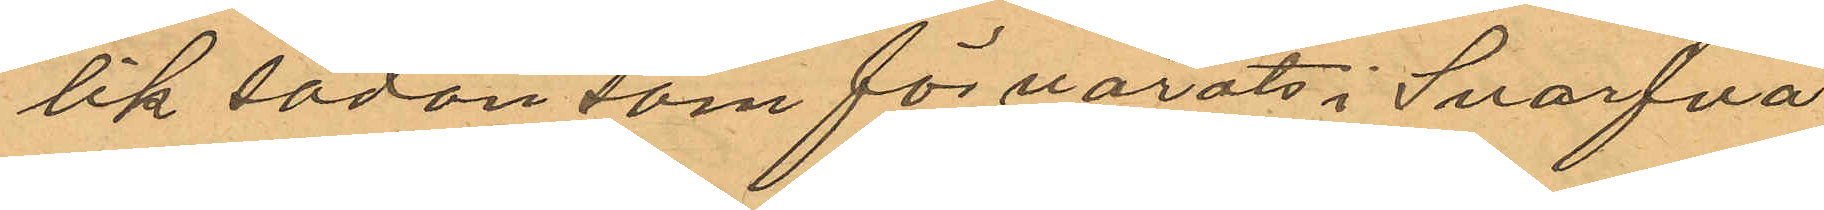lik sådan som förvarats i Svarfva¬
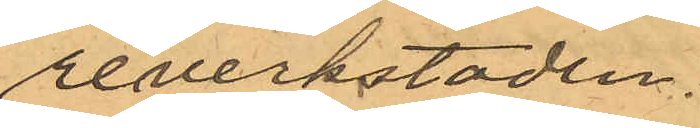reverkstaden.
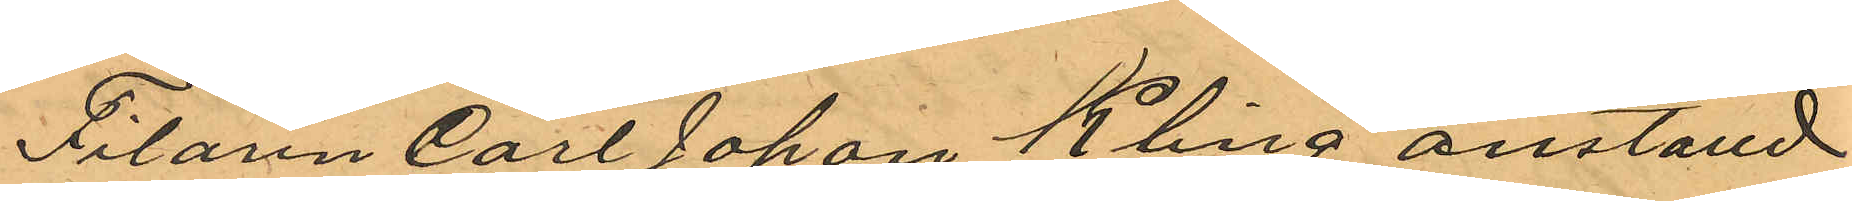Filarenn Carl Johan Kling anställd
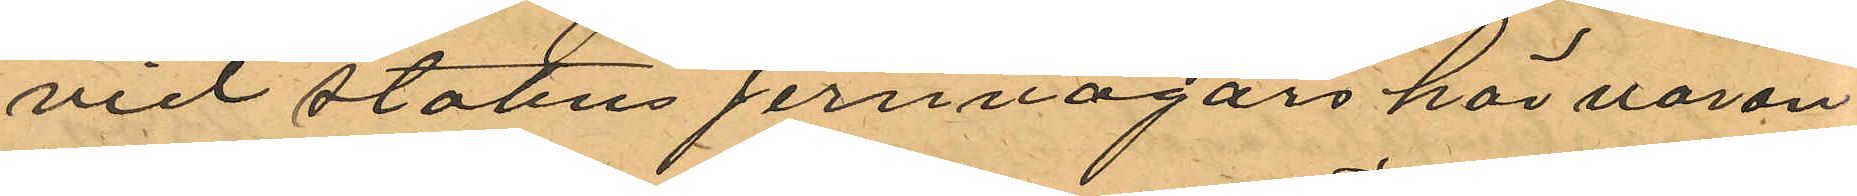vid statens jernvägars här varan¬
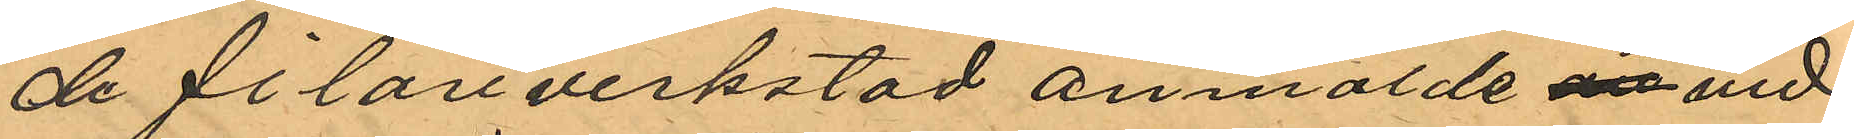de filareverkstad anmälde vid
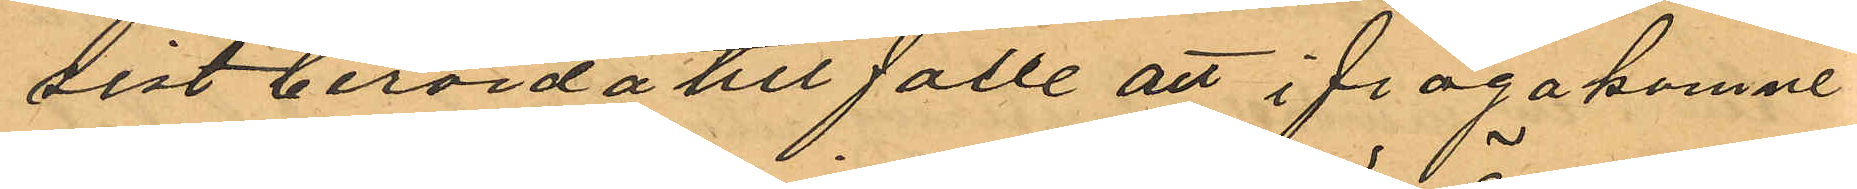sistberörda till fälle att ifrågakomne
